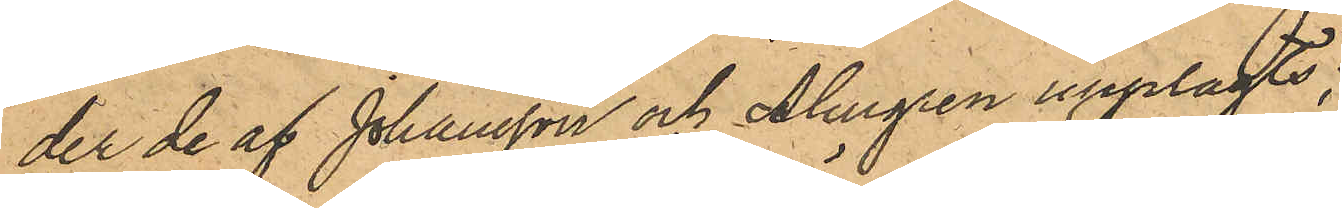der de af Johansson och Almgren upplagts;
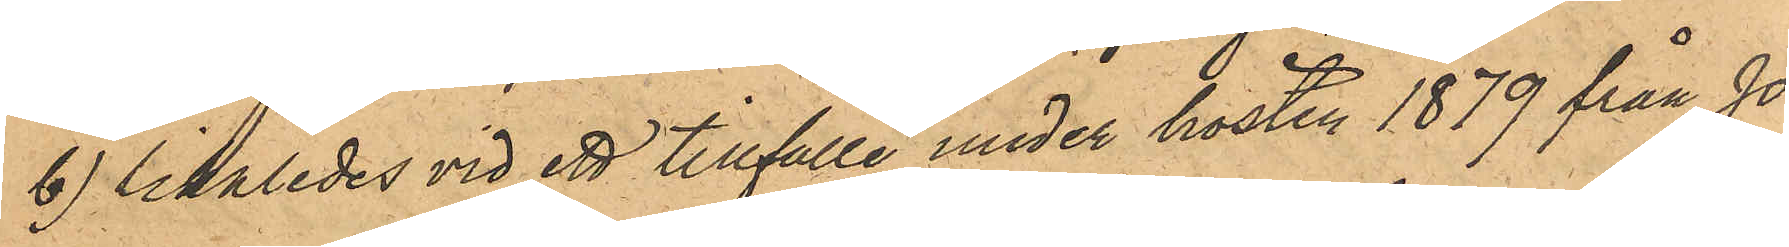b) likaledes vid ett tillfälle under hösten 1879 från Jo¬
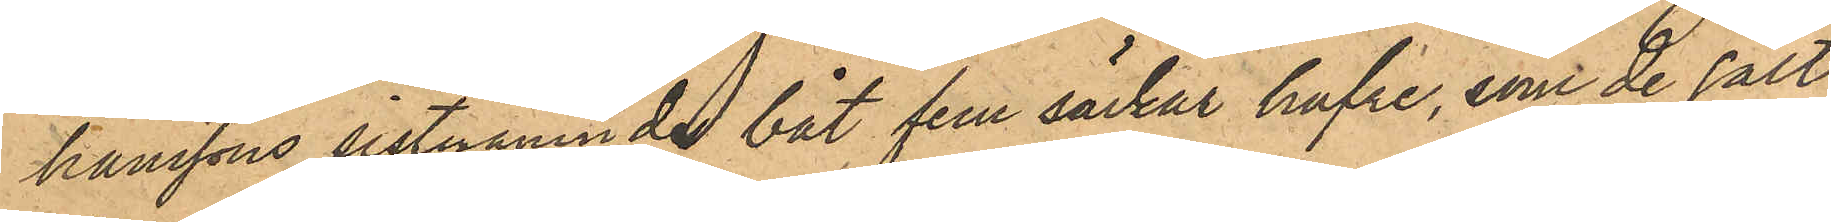hanssons sistnämnde båt fem säckar hafre, som de sålt
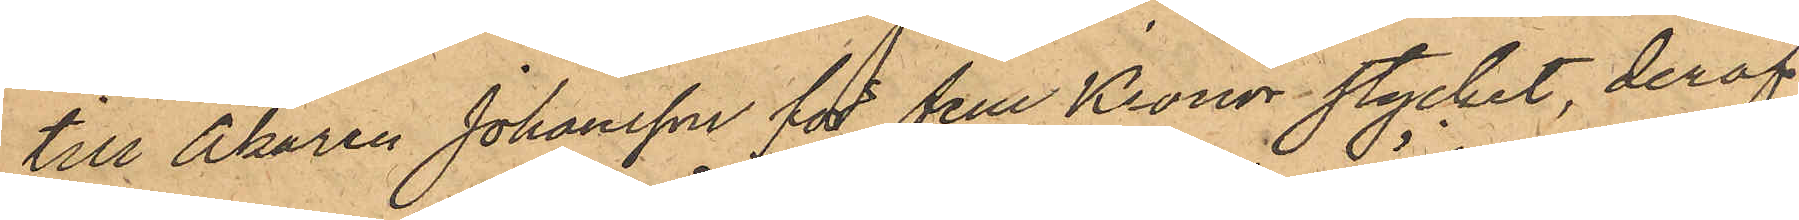till Åkaren Johansson för fem Kronor stycket, deraf
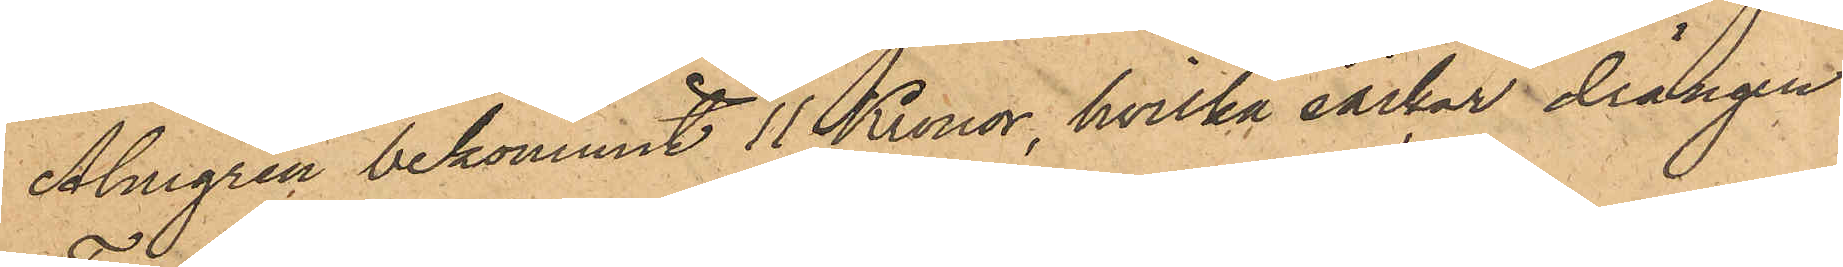Almgren bekommit 11 Kronor, hvilka säckar drängen
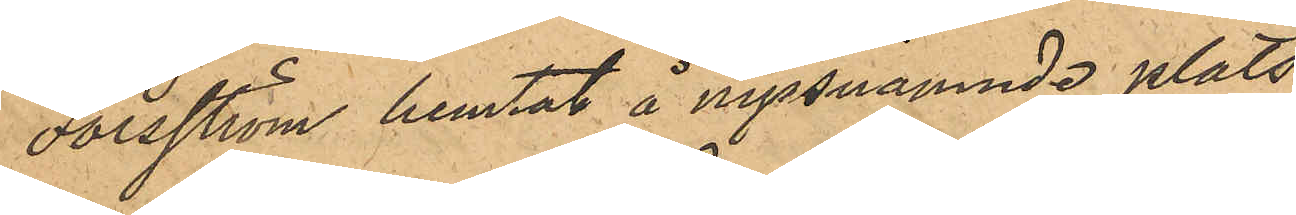Forsström hemtat å nyssnämnde plats;
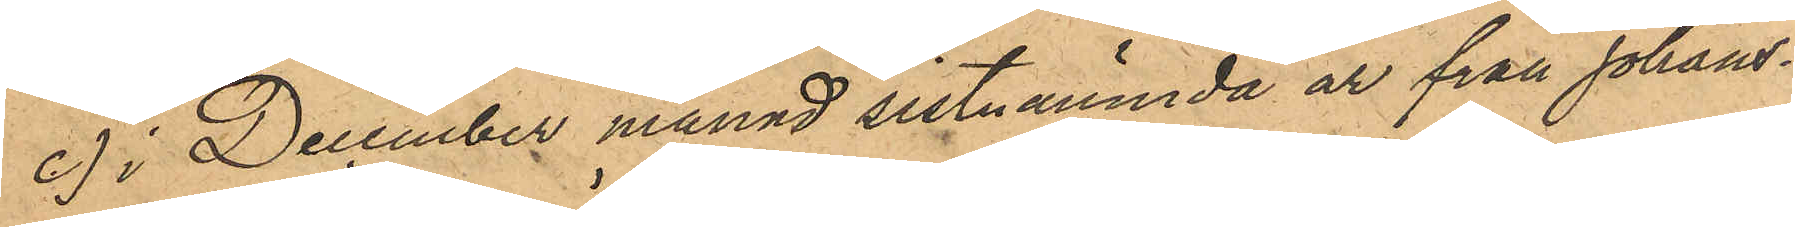c) i December månad sistnämnda år från Johans¬
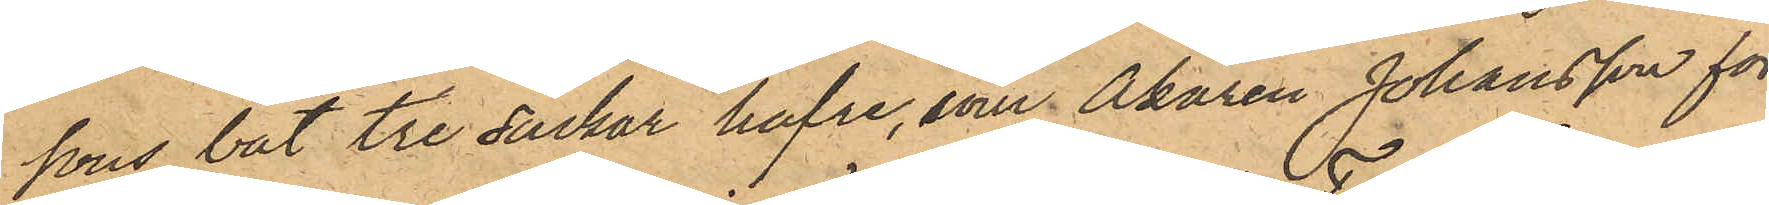sons båt tre säckar hafre, som Åkaren Johansson för
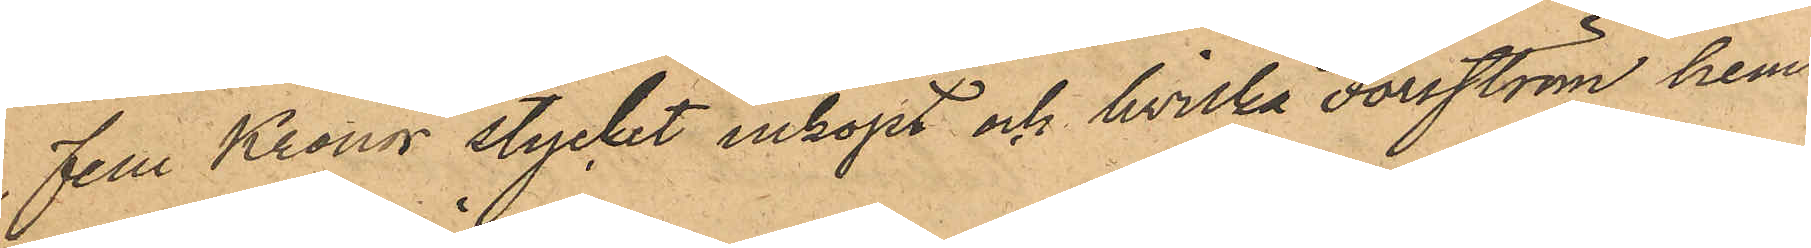fem Kronor stycket inköpt och hvilka Forsström hem¬
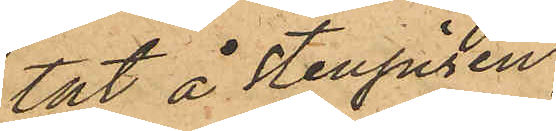tat å Stenpiren.
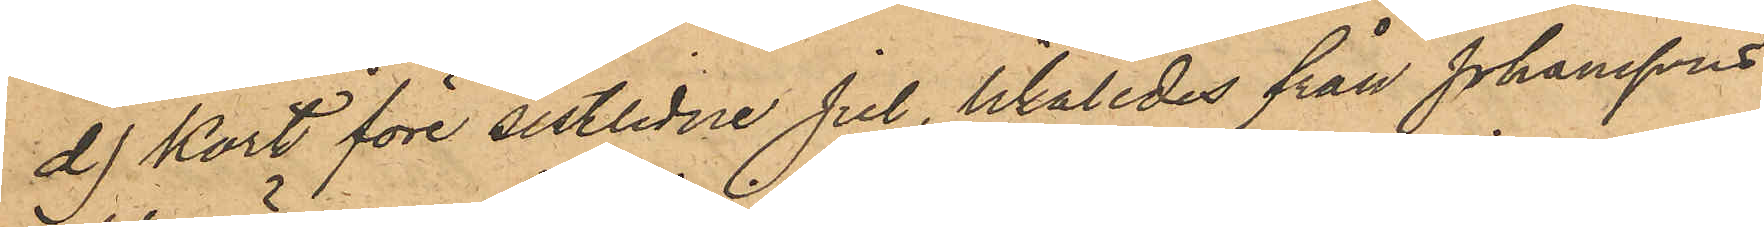d) kort före sistlidne Jul, likaledes från Johanssons
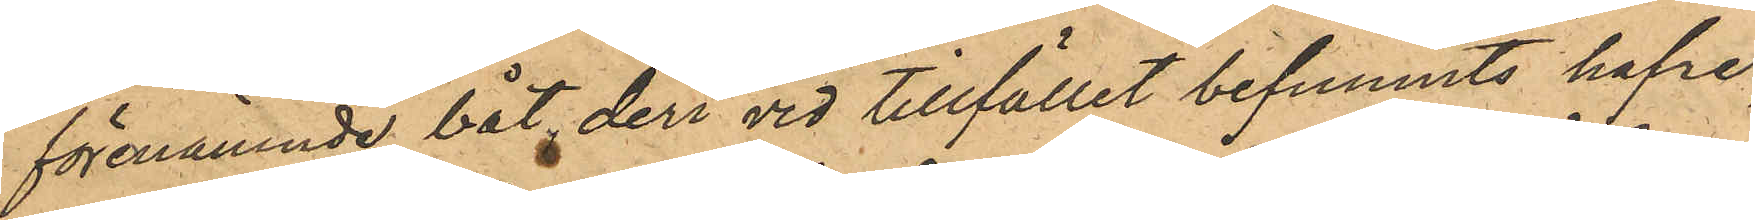förenämnde båt, deri vid tillfället befunnits hafre,
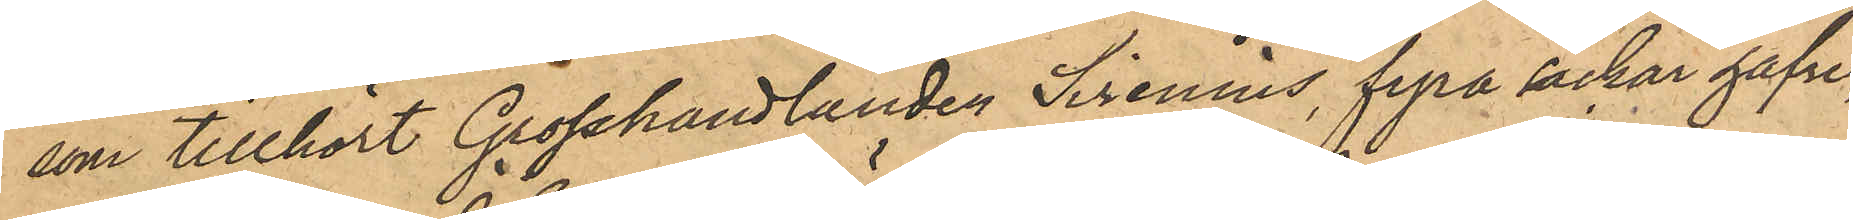som tillhört Grosshandlanden Sirenius, fyra säckar hafre,
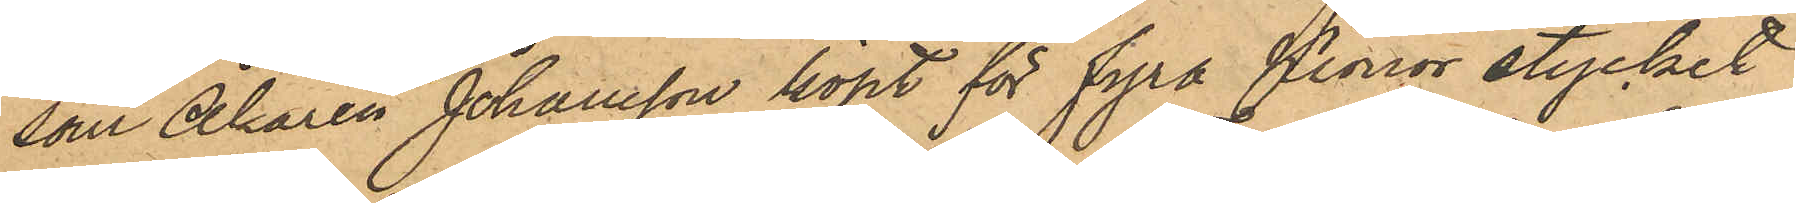som Åkaren Johansson köpt för fyra Kronor stycket
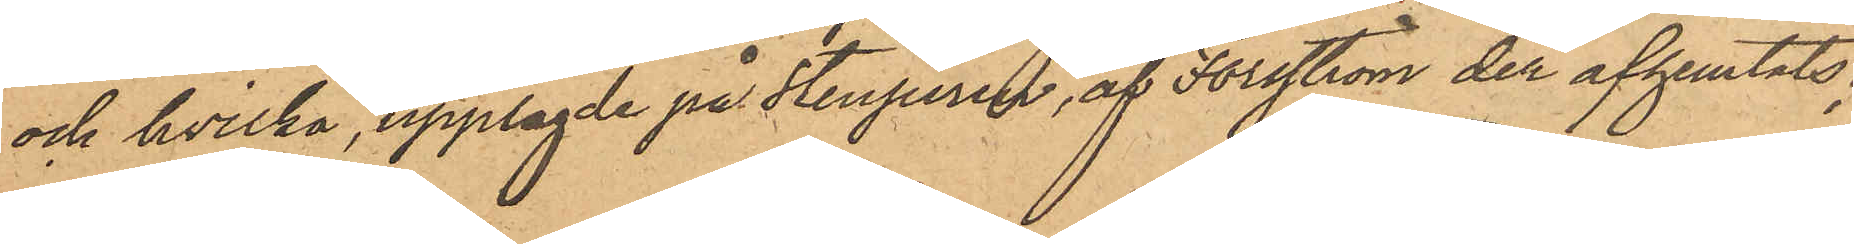och hvilka, upplagde på Stenpiren, af Forsström der afhemtats;
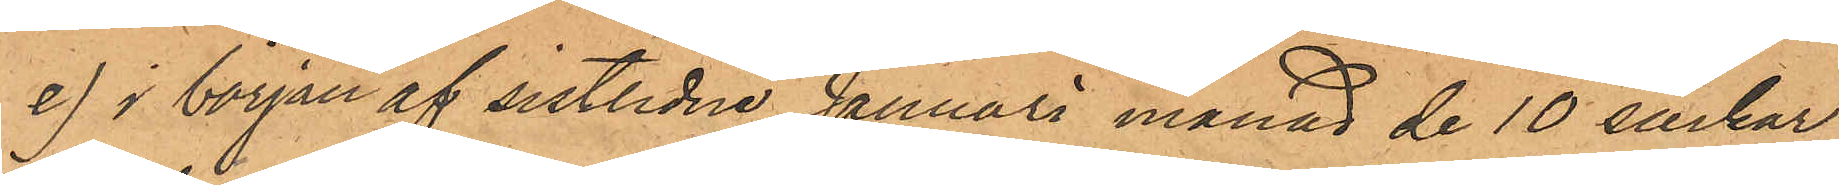e) i början af sistlidne Januari månad de 10 säckar
